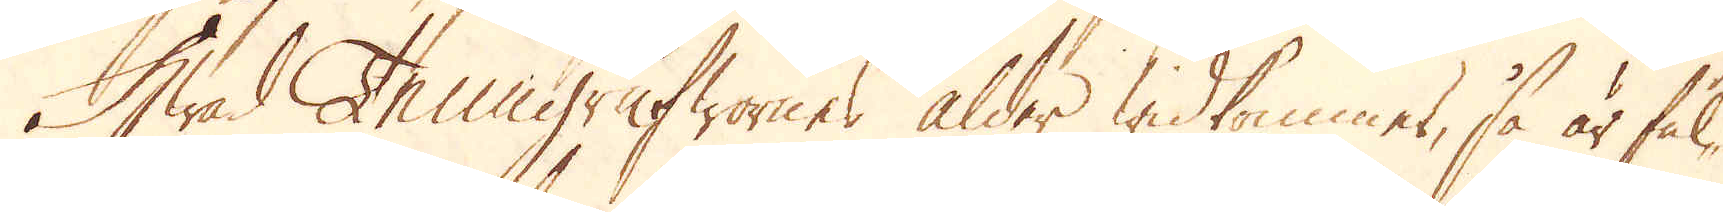Hwad Tenngrufwornes ålder widkommer, så är ful-
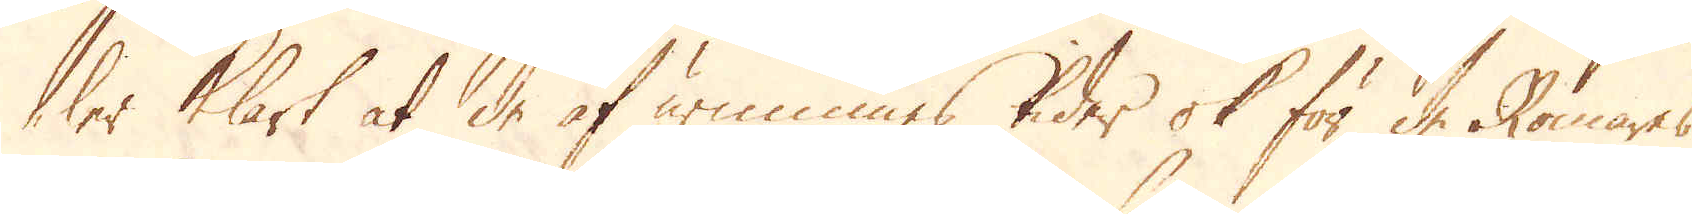ler klart at de af urminnes tider ok för de Romares
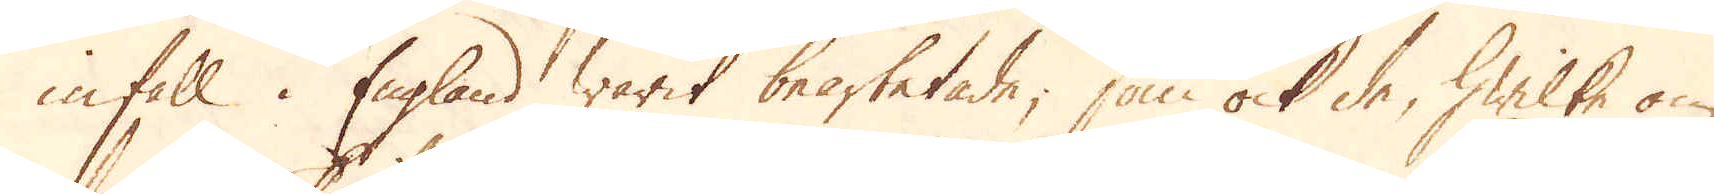infall i England warit bearbetade, som ock de, hwilke om
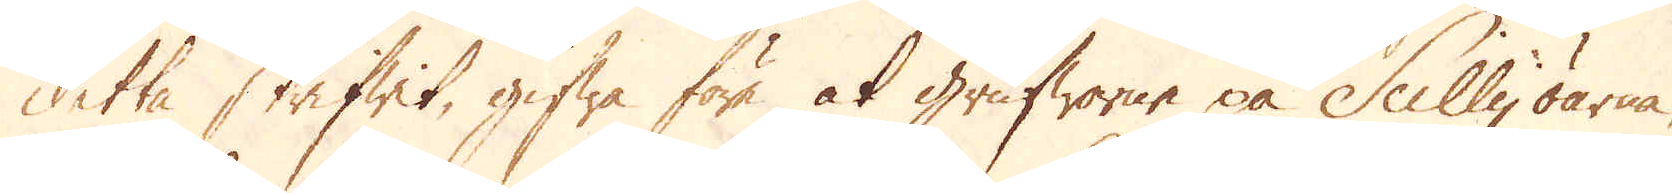detta skrifwit, gifwa före at grufworne på Scillyöarna,
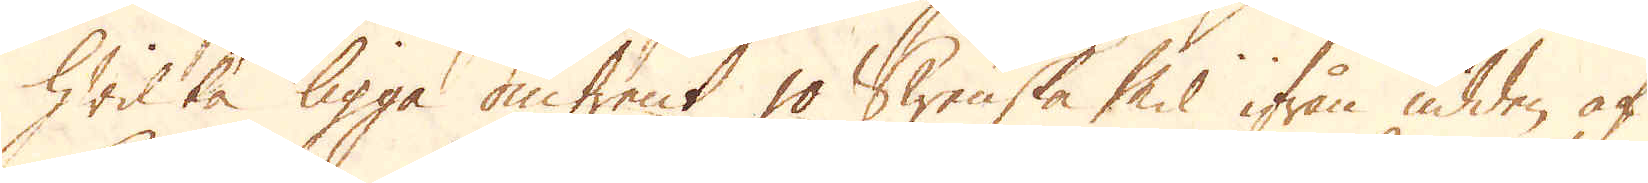hwilka ligga omtrent 10 Swenska Mil ifrån udden af
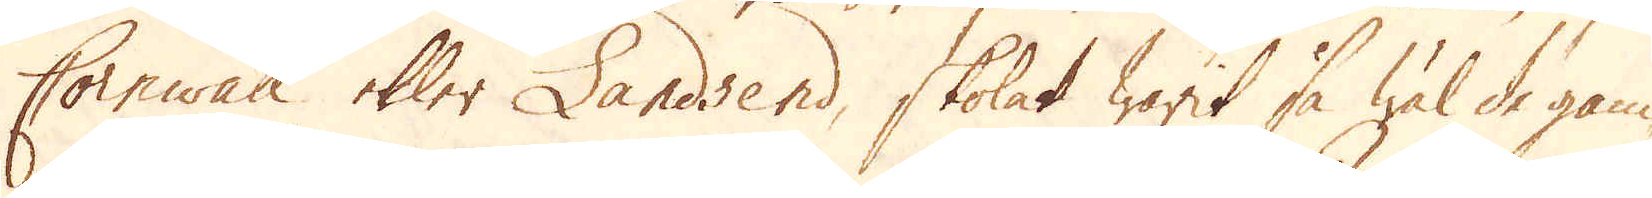Cornwall eller Landsend, skolat warit så wäl de gam-
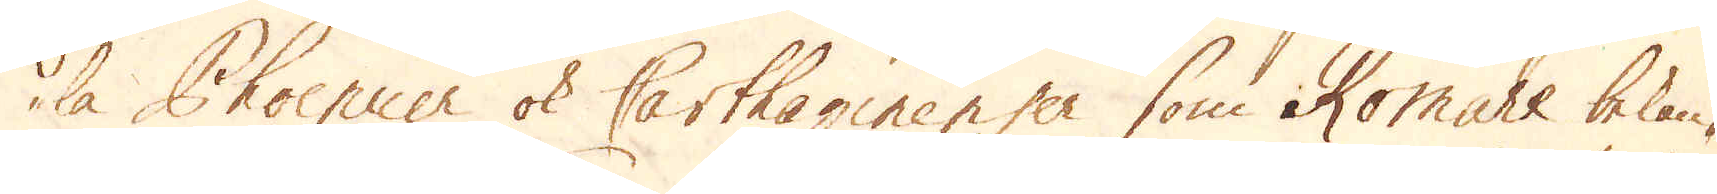la Phaenicer ok Carthaginenser som Romare bekan-
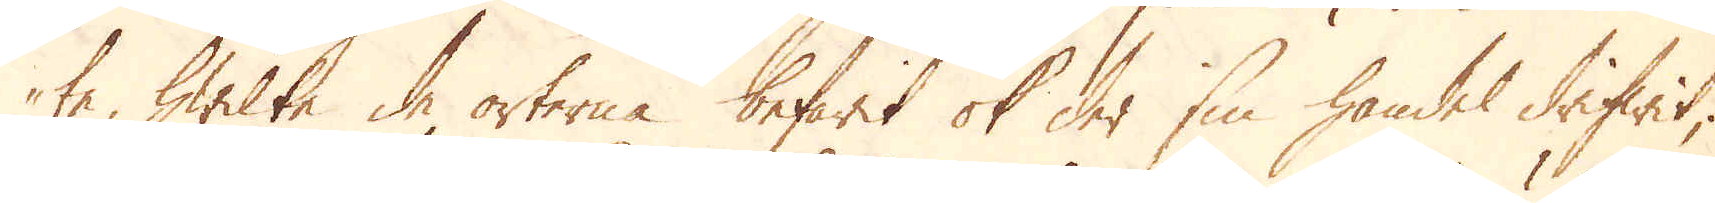te, hwilka de orterna befarit ok der sin handel drifwit;
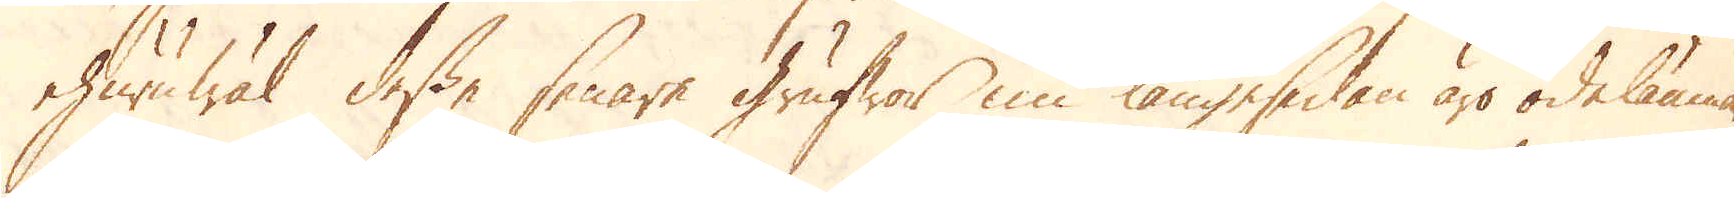ehuruwäl desse senare grufwor nu längesedan äro ödelämna-
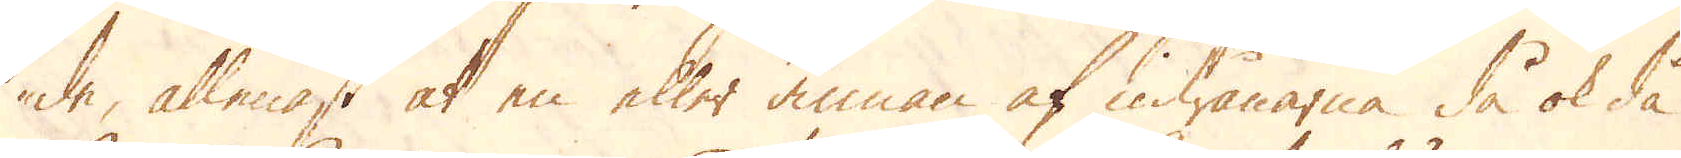de, allenast at en eller annan af inwånarna, då ok då
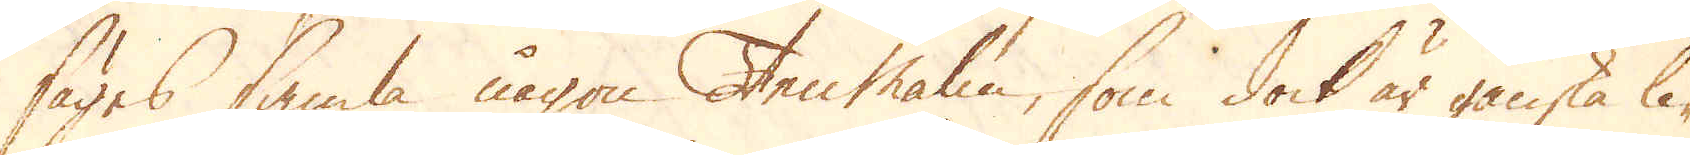säges samla någon Ten Malm, som dock är ganska li-
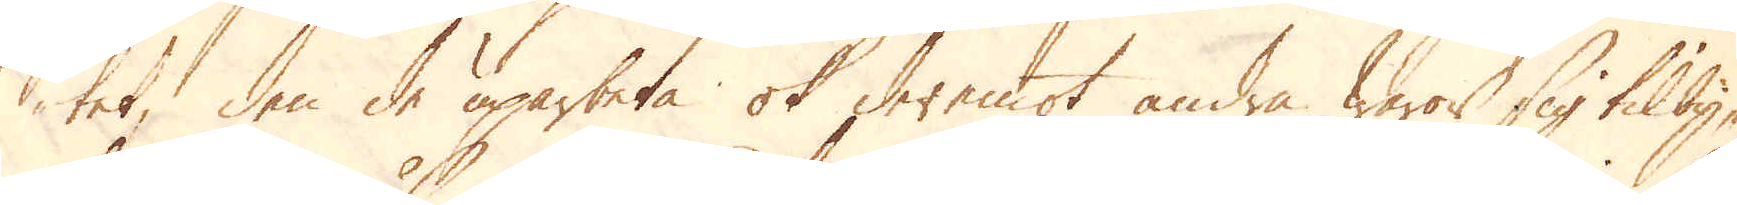tet, den de uparbeta ok deremot andra waror sig tilby-
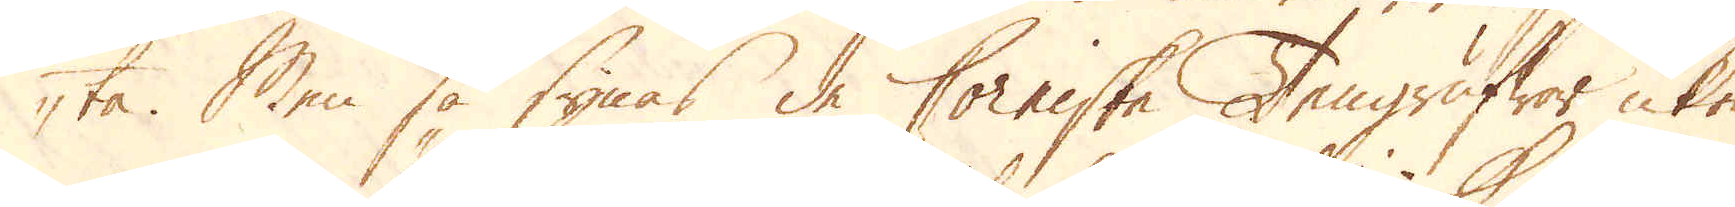ta. Men så synas de Corniske Tengrufwor icke
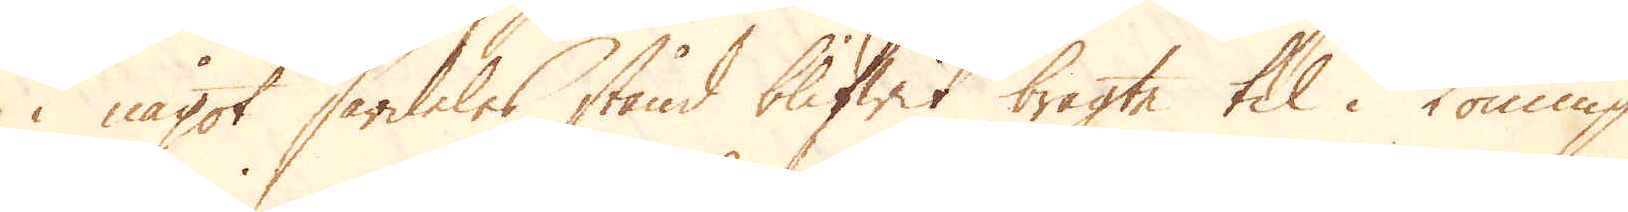i något särdeles stånd blifwit bragte til i Konung
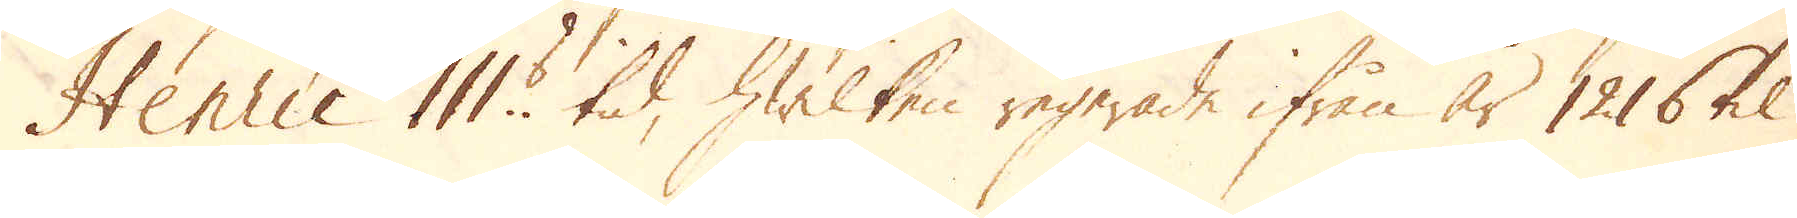Henric III:s tid, hwilken regerade ifrån år 1216 til
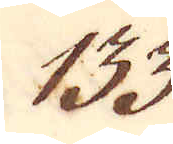133.
